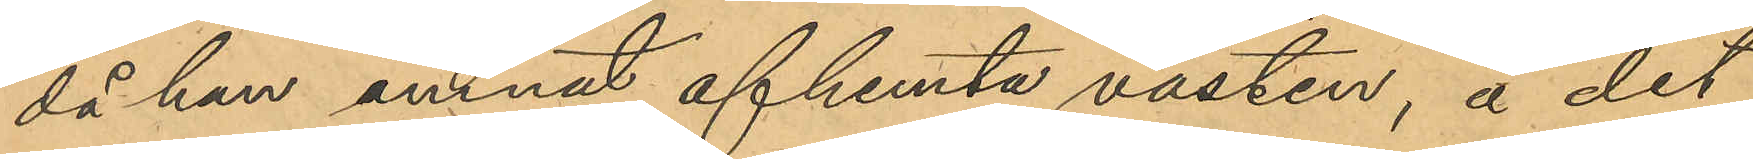då han ämnat afhemta västen, å det
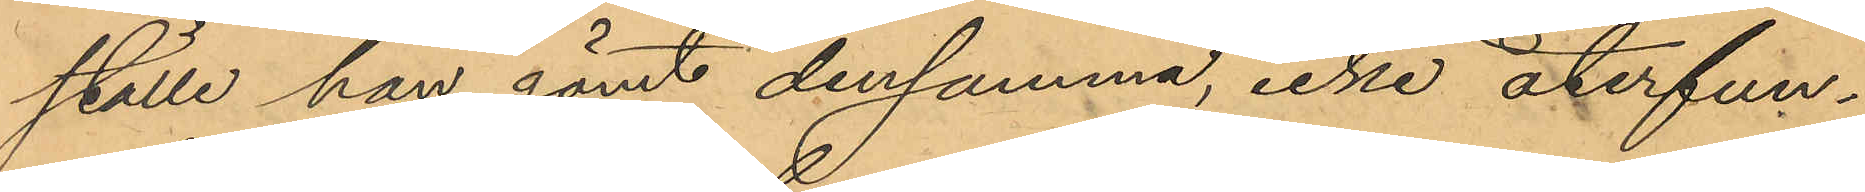ställe han gömt densamma, icke återfun¬
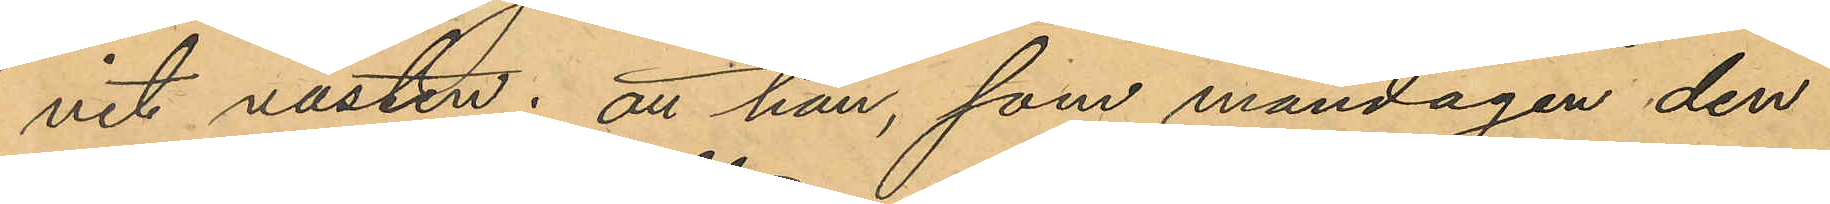nit västen; att han, som måndagen den
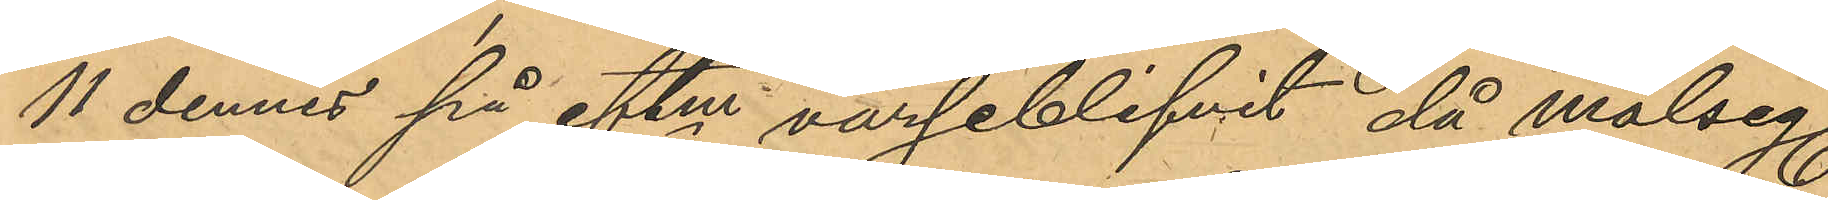11 dennes på eftm varseblifvit då målseg.
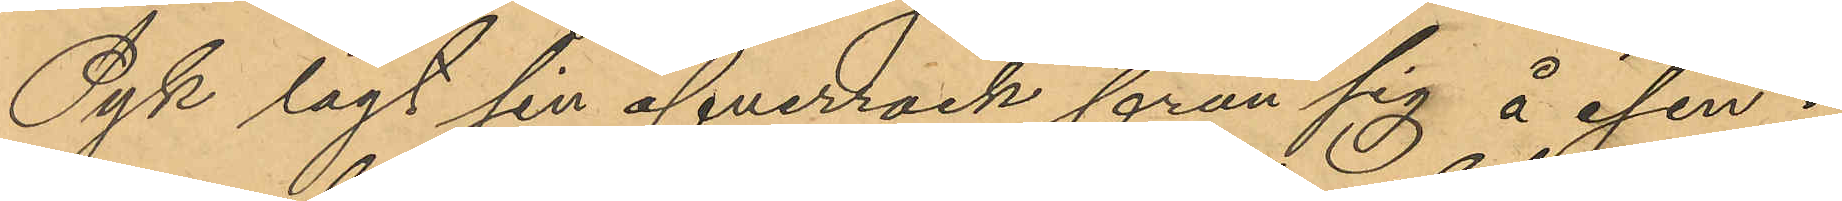Pyk lagt sin öfverrock från sig å isen å
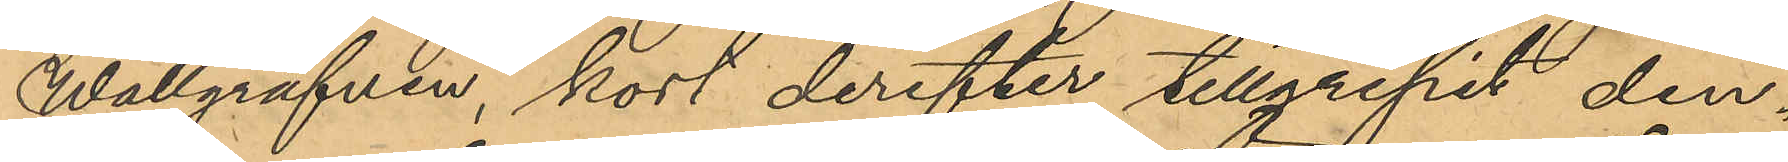Wallgrafven, kort derefter tillgripit den¬
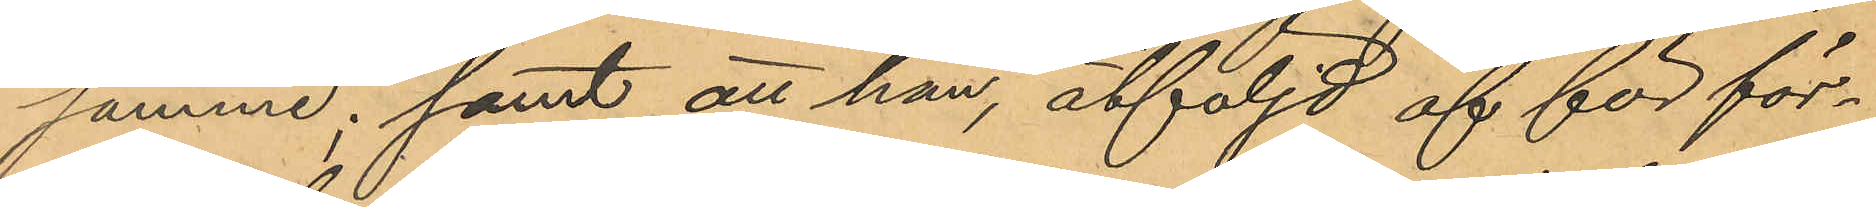samme; samt att han, åtföljd af för för¬
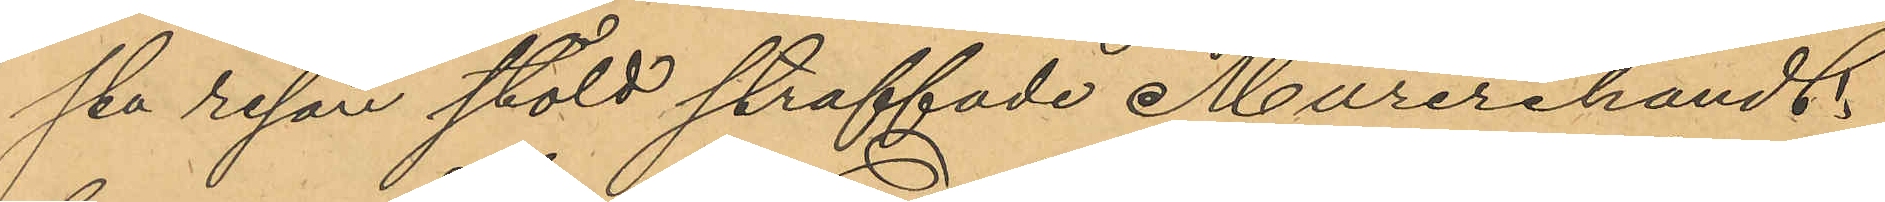sta resan stöld straffade Murerihandt¬
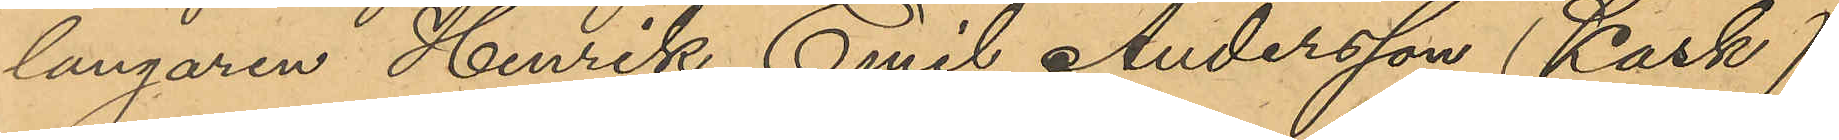langaren, Henrik Emil Andersson (Kask)
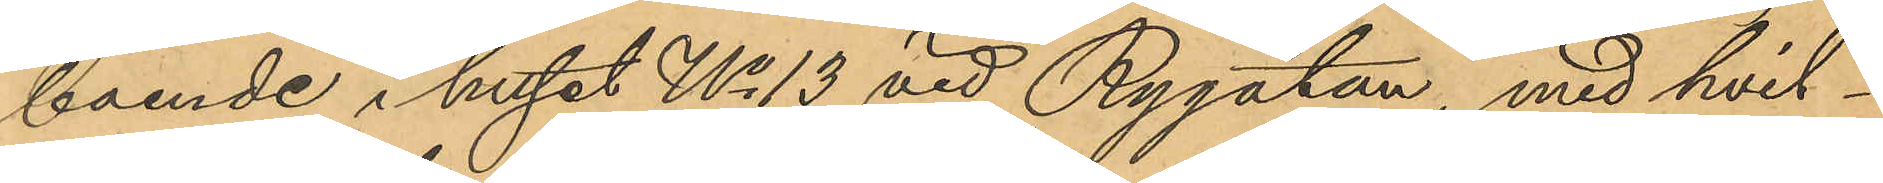boende i huset No 13 vid Rygatan, med hvil¬
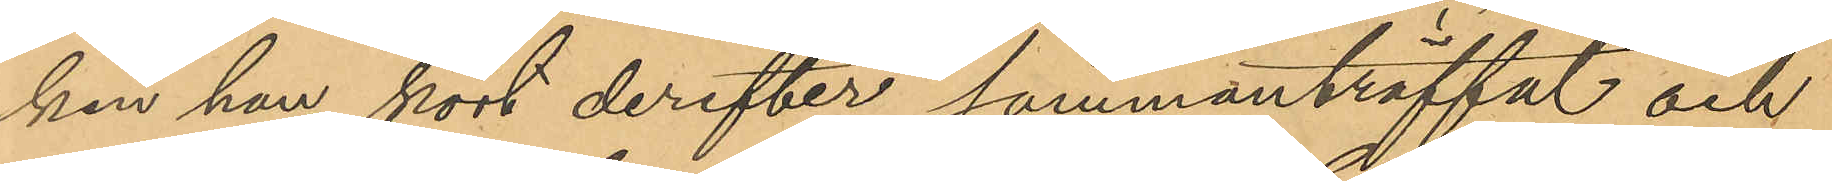ken han kort derefter sammanträffat och
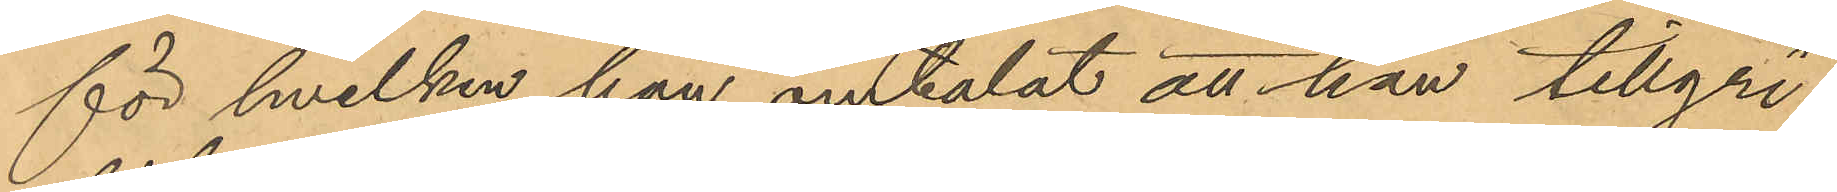för hvilken han omtalat att han tillgri¬
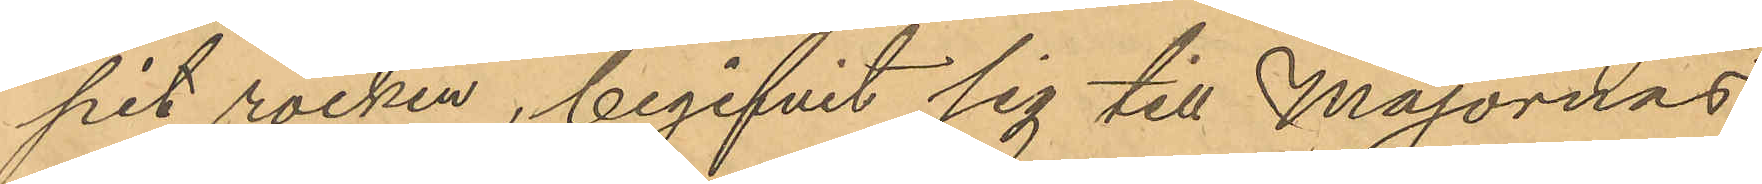pit rocken, begifvit sig till Majornas
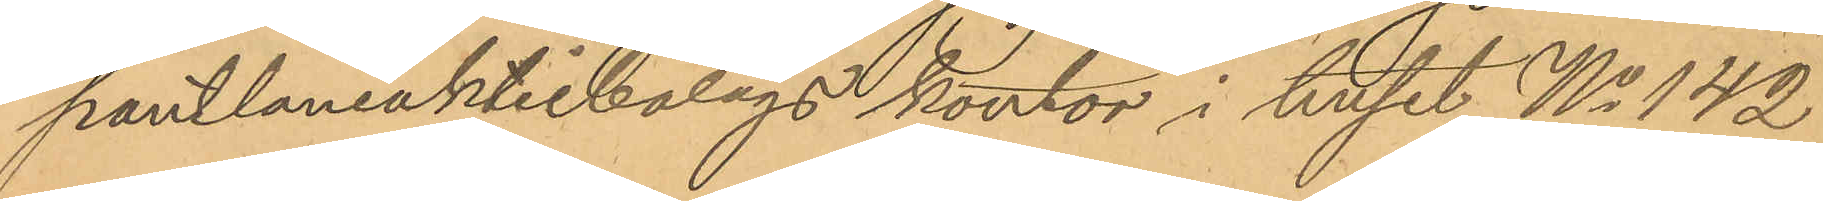pantlåneaktiebolags kontor i huset No 142
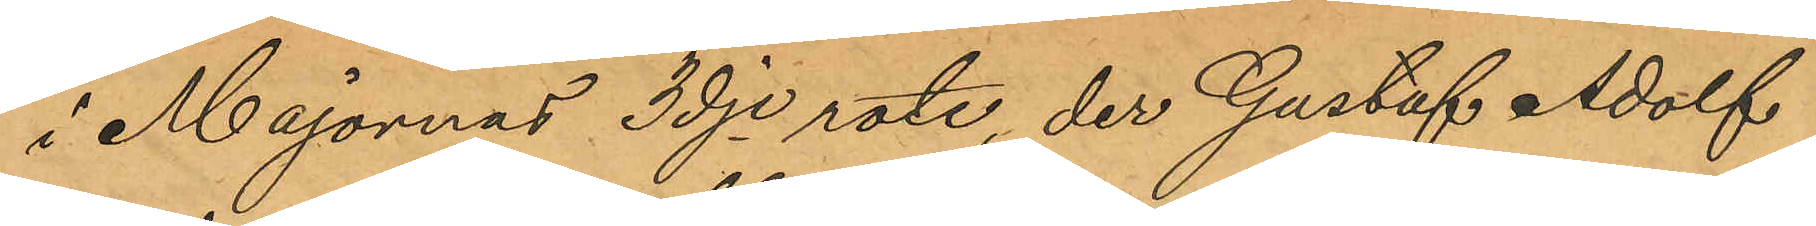i Majornas 3dje rote, der Gustaf Adolf
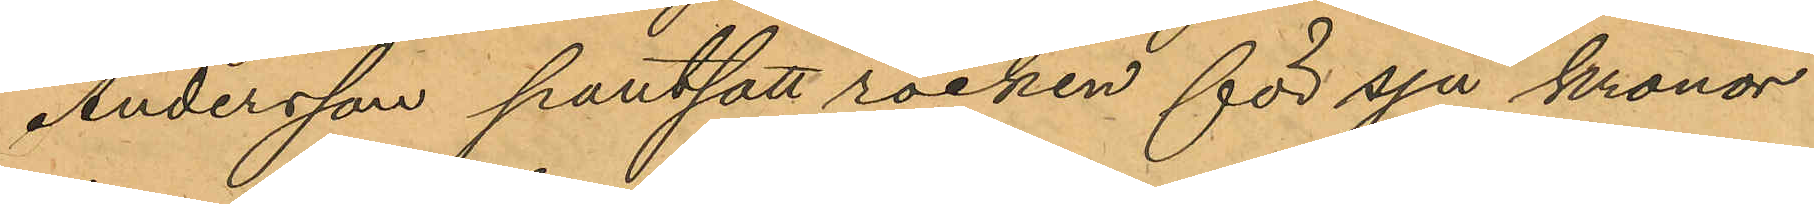Andersson pantsatt rocken för sju kronor
